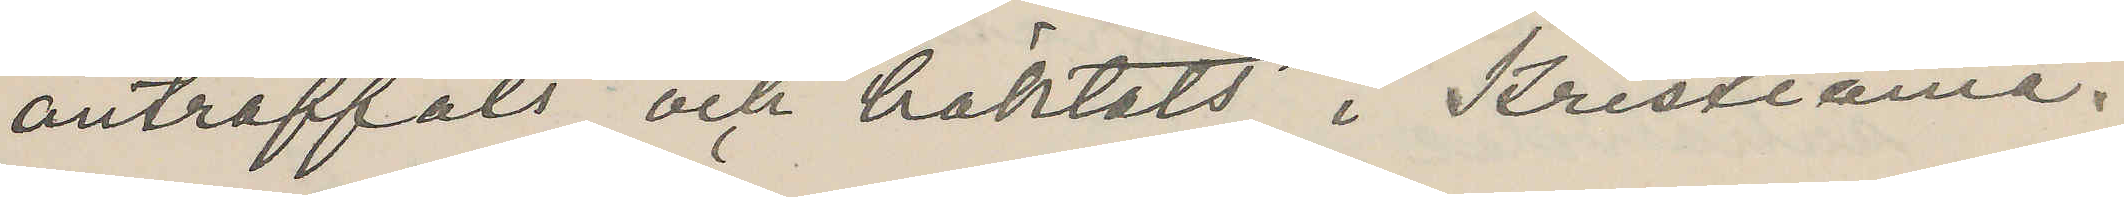anträffats och häktats i Kristiania.
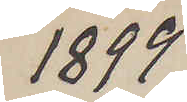1899
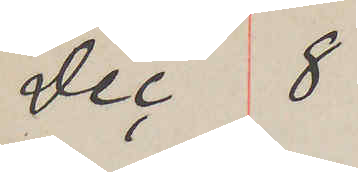Dec 8
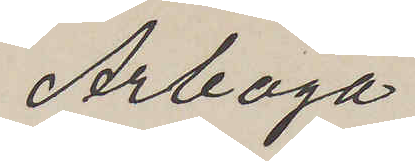Arboga
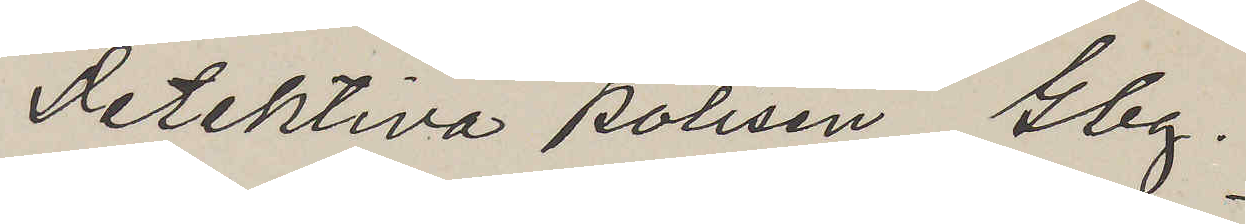Detektiva Polisen Gbg.
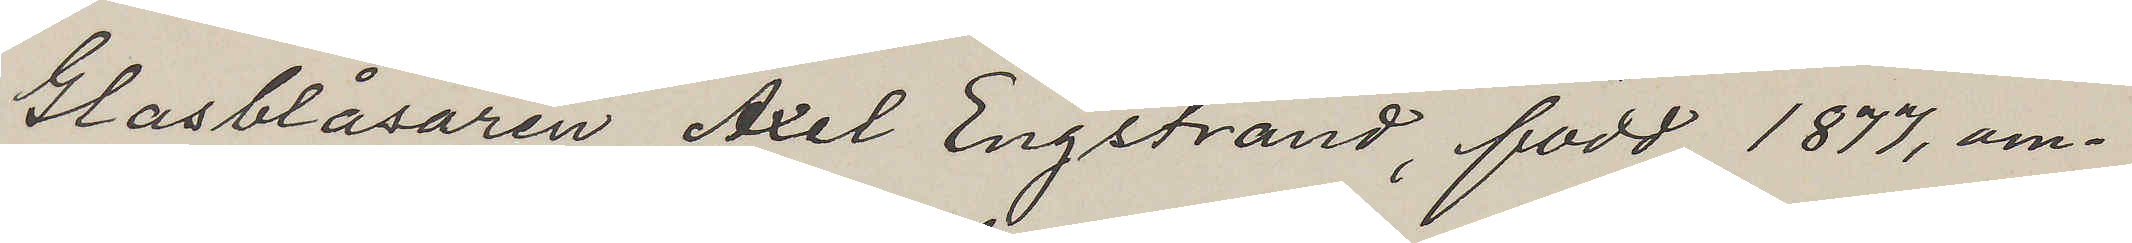Glasblåsaren Axel Engstrand, född 1877, om¬
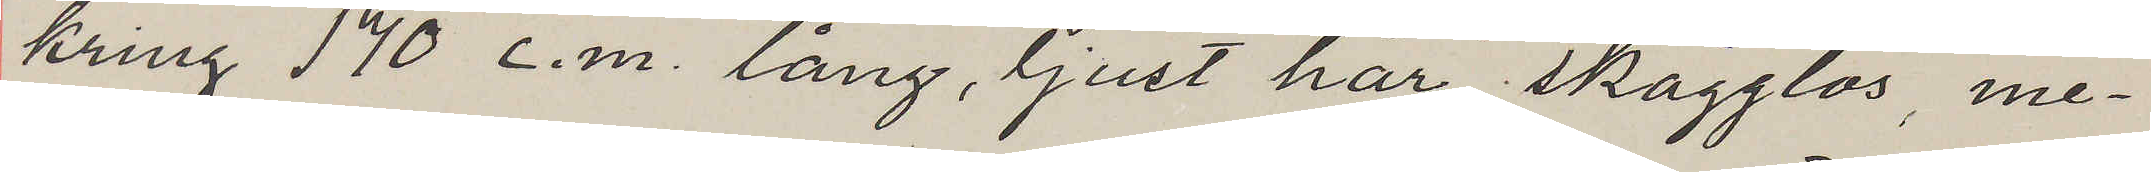kring 170 c.m. lång, ljust hår, skägglös, me¬
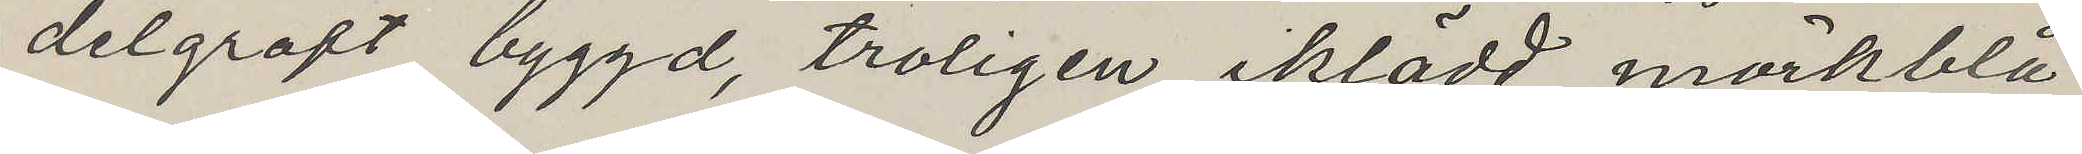delgroft byggd, troligen iklädd mörkblå
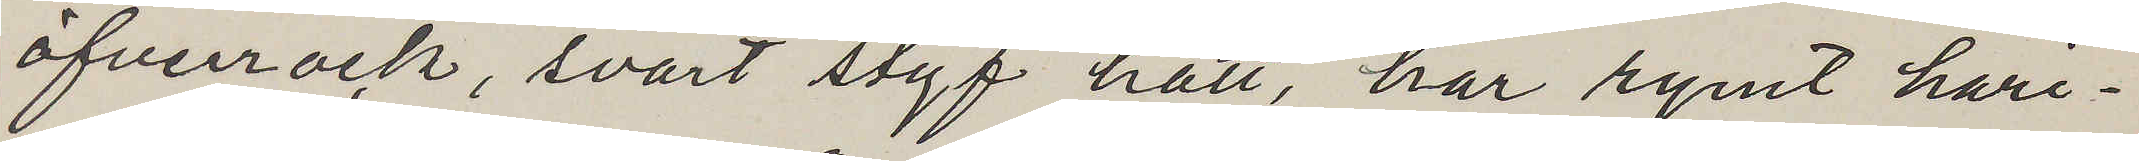öfverrock, svart styf hatt, har rymt häri¬
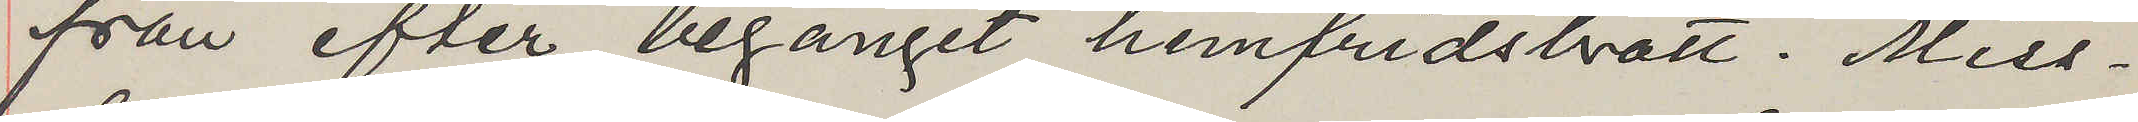från efter begånget hemfridsbrott. Miss¬
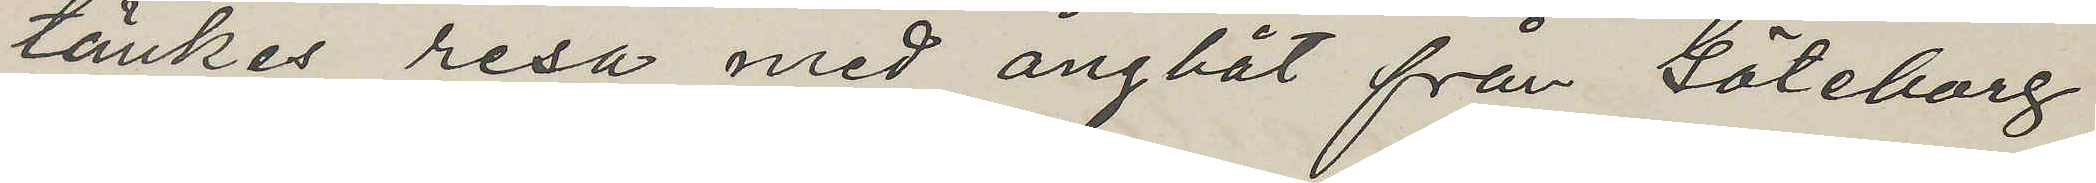tänkes resa med ångbåt från Göteborg
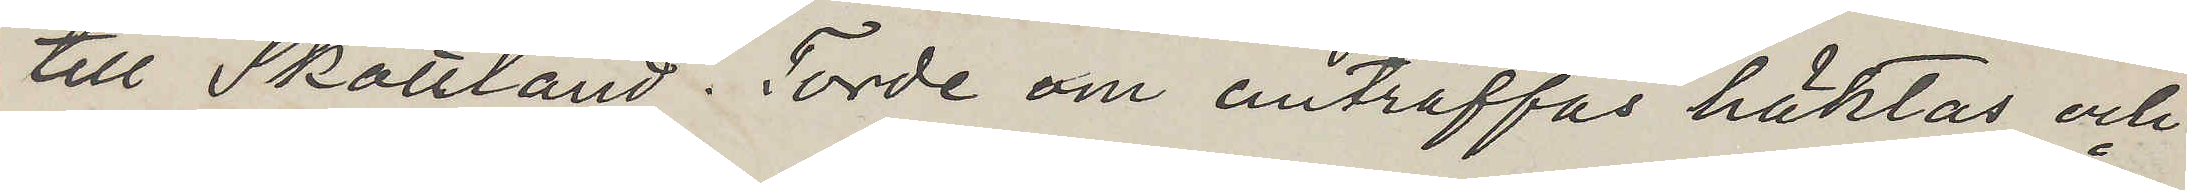till Skottland. Torde om anträffas häktas och
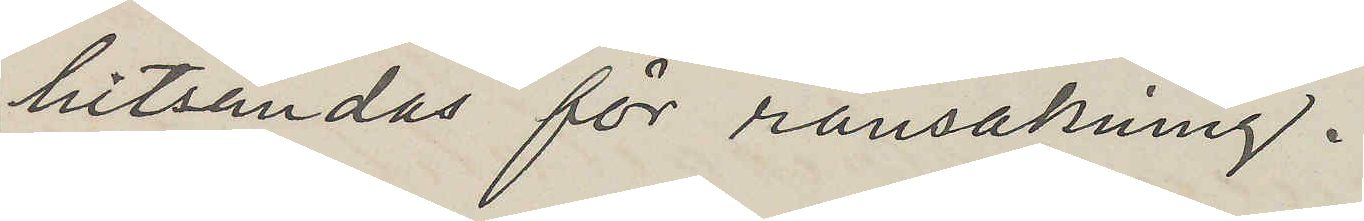hitsändas för ransakning.
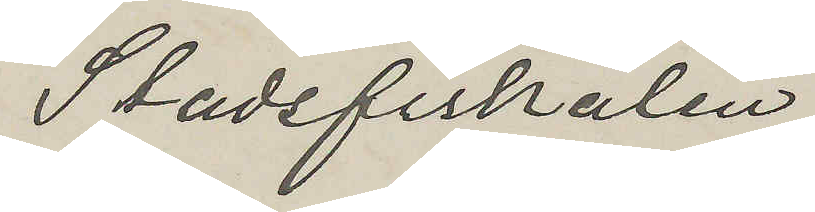Stadsfiskalen
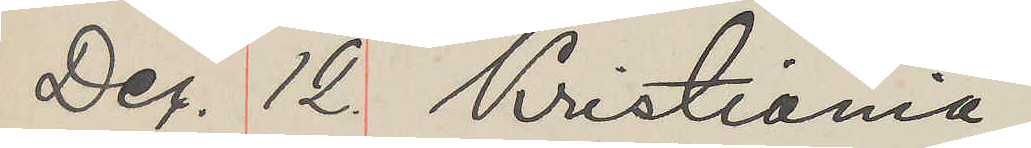Dec. 12. Kristiania
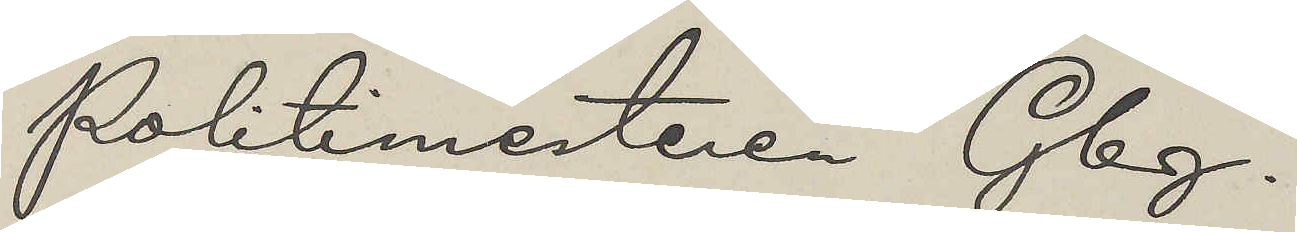Politimesteren Gbg.
